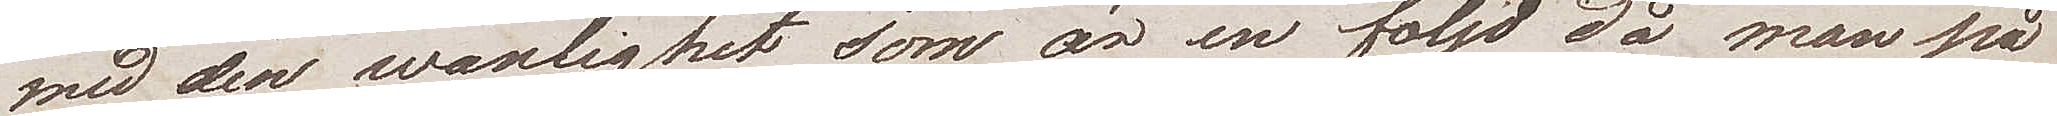med den wänlighet som är en följd då man på
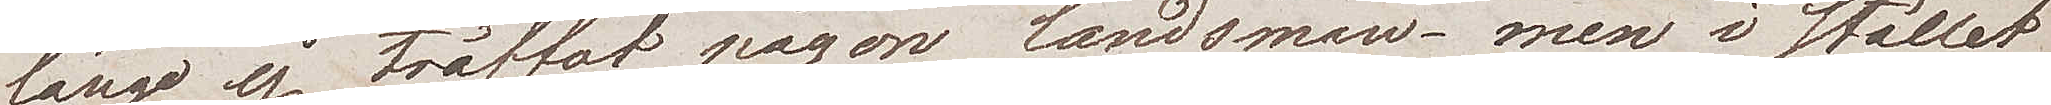länge ej träffat någon landsman – men i stället
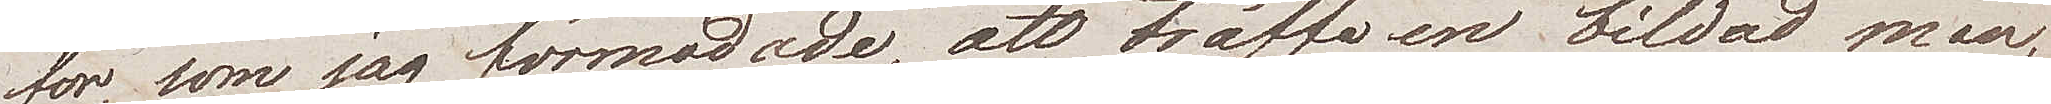för, som jag förmodade, att träffa en bildad man,
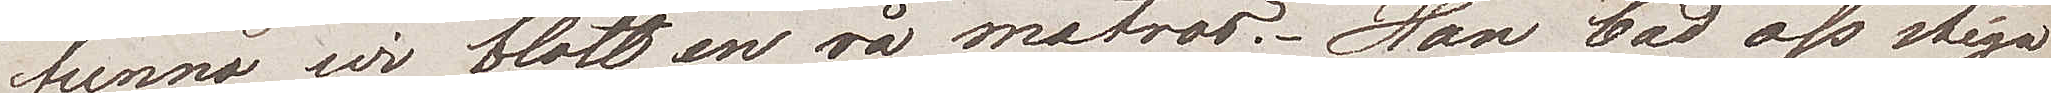funno wi blott en rå matros. Han bad oss stiga
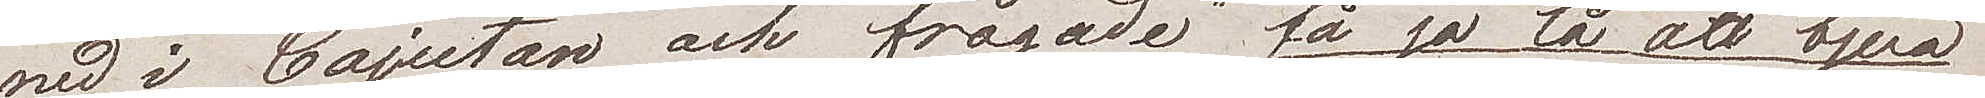ned i Cajutan och frågade "få ja lå att bjua
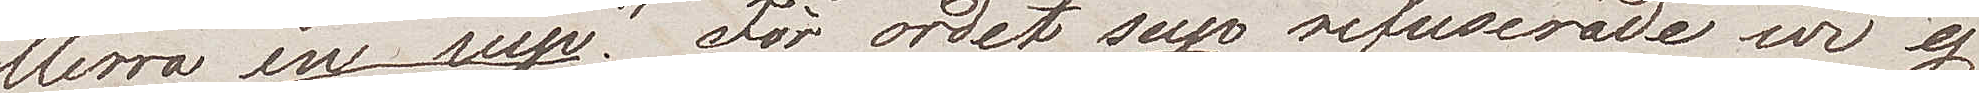herra en sup". För ordet sup refuserade wi ej
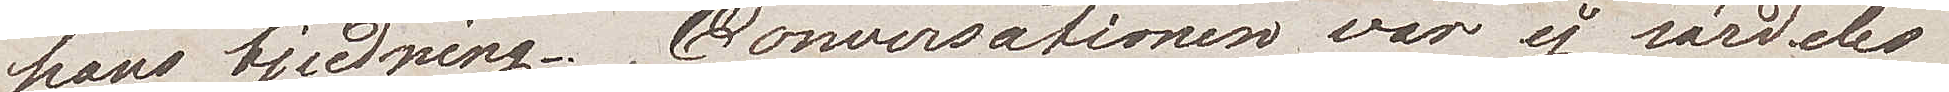hans bjudning. Conversationen var ej särdeles
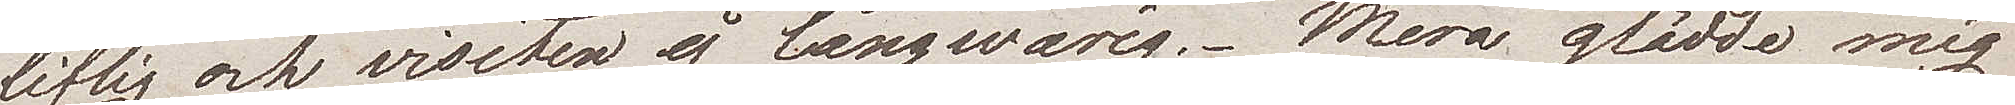liflig och visiten ej långwarig. Mera gladde mig
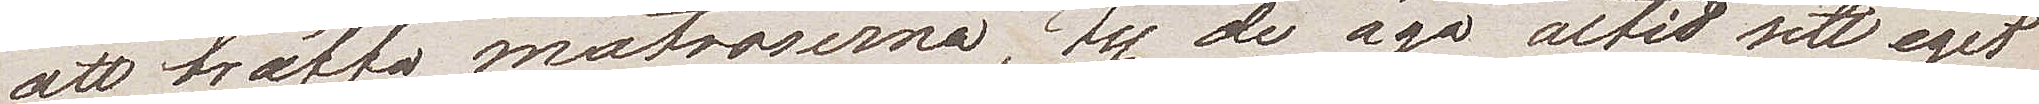att träffa matroserna, ty de äga altid sitt eget
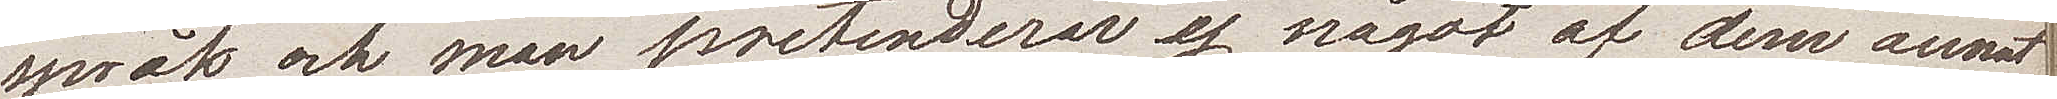språk och man pretenderar ej något af dem annat
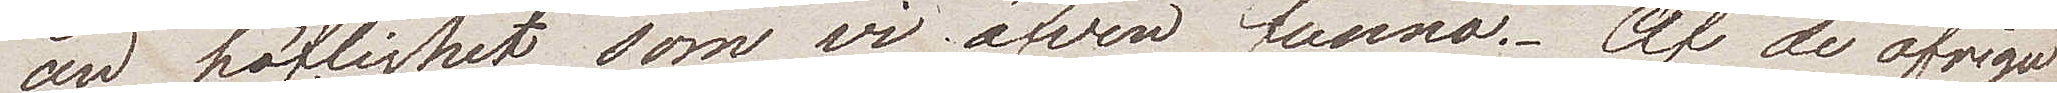än höflighet som wi äfven funno. Af de öfriga
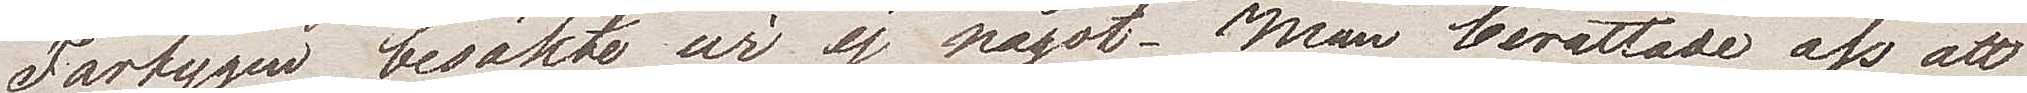Fartygen besökte wi ej något. Man berättade oss att
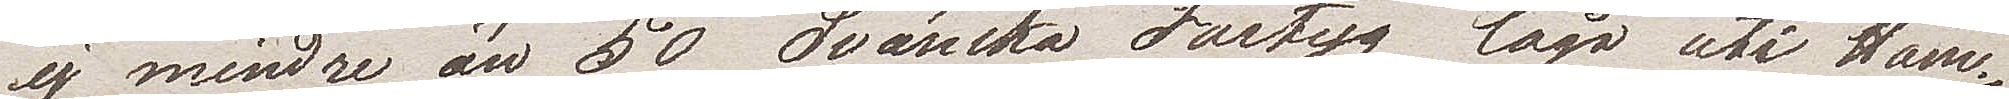ej mindre än 50 Svänska fartyg lågo uti Ham¬
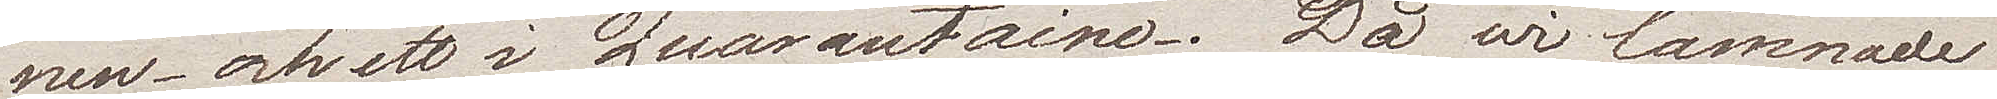nen – och ett i Quarantaine. Då wi lämnade
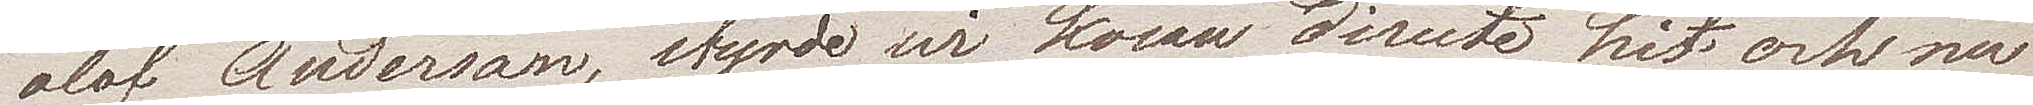Olof Andersson, styrde wi kosan directe hit och nu
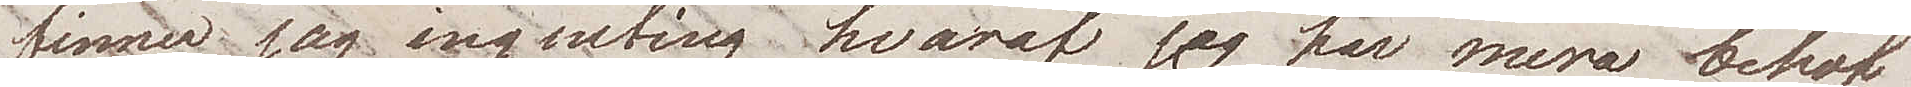finner jag ingenting hvaraf jag har mera behof
